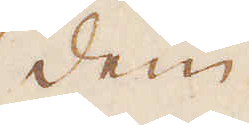dem
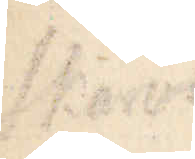Skärverk för
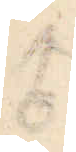♂
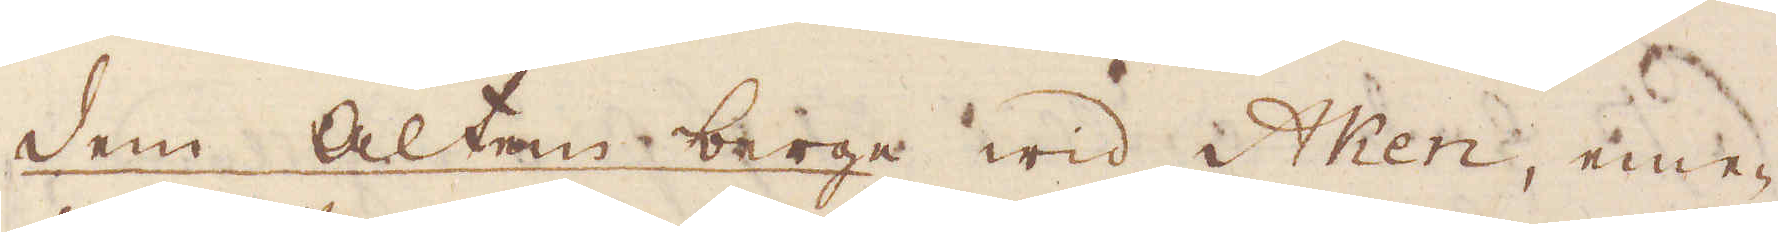Dem Alten berge wid Aken, eme-
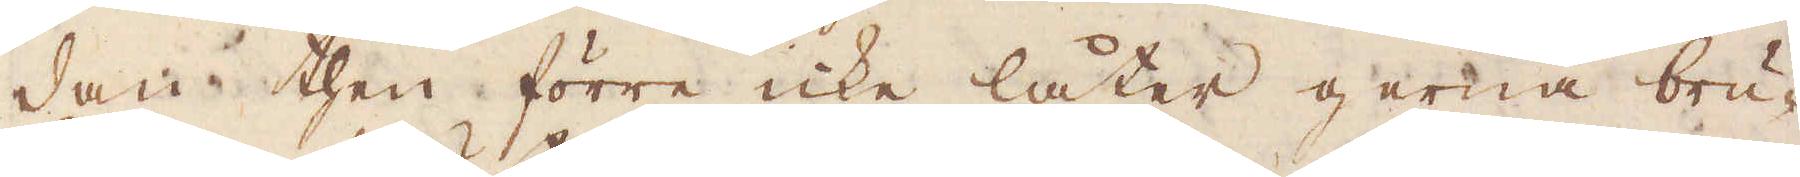dan then förre icke låter gerna bru-
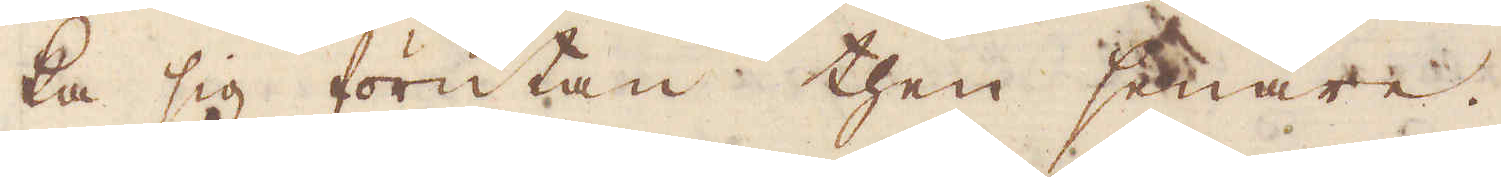ka sig förutan then senare.
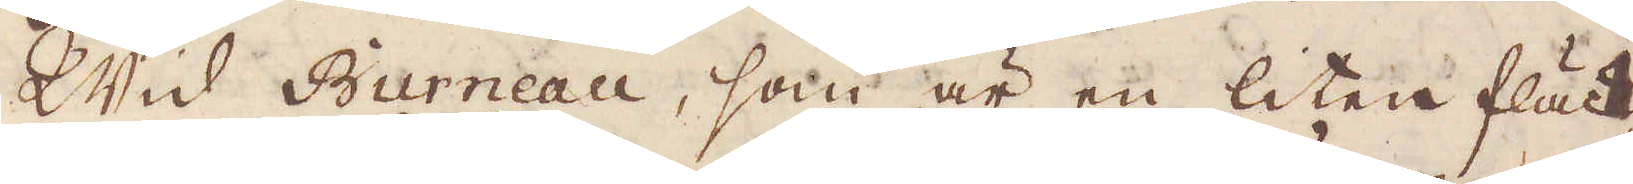Wid Burneau, som är en liten fläck
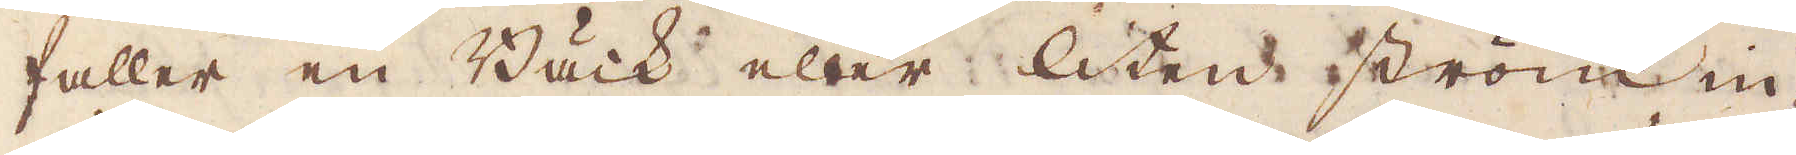faller en Bäck eller liten ström in-
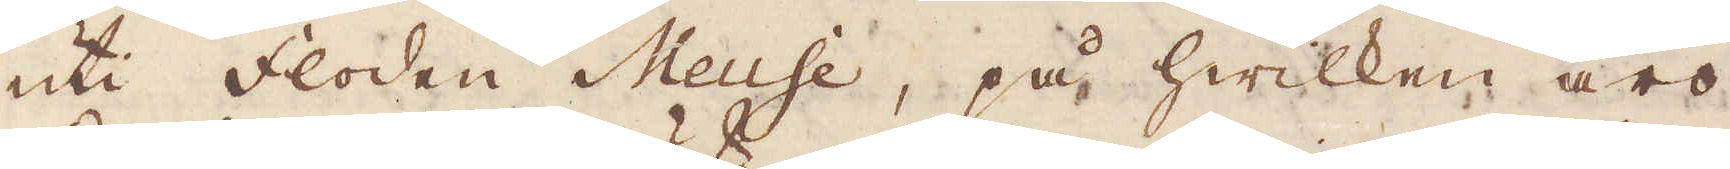uti floden Meuse, på hwilken äro
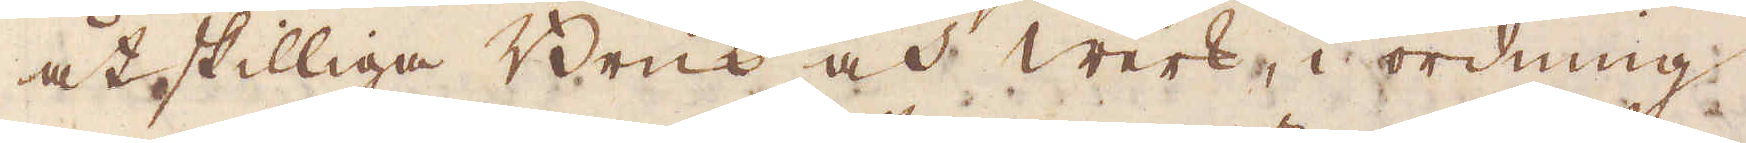åtskilliga Bruk och Werk, i ordning
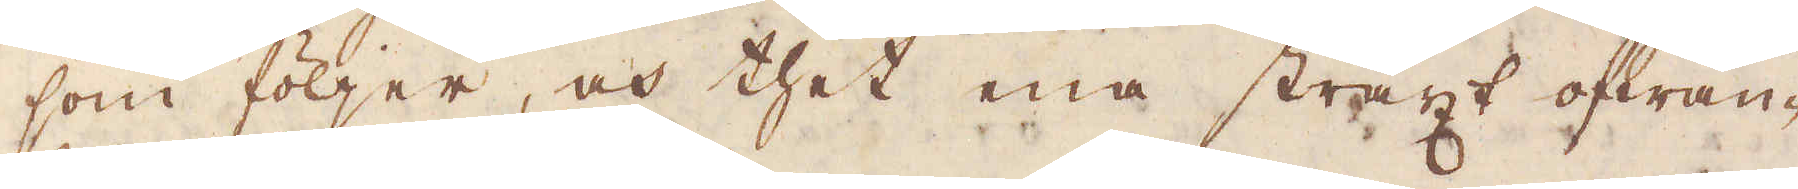som följer, och thet ena straxt ofwan-
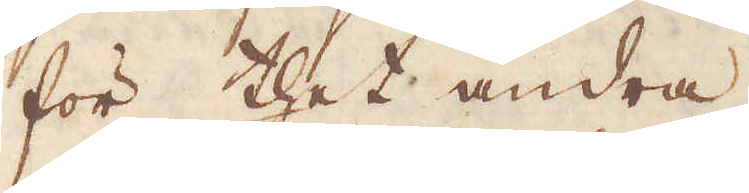för thet andra.
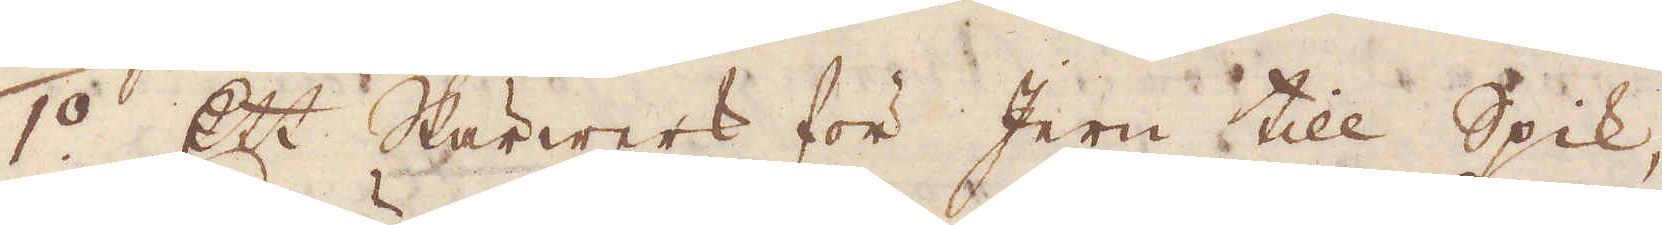1:o Ett Skärwerk för Jern till Spik,
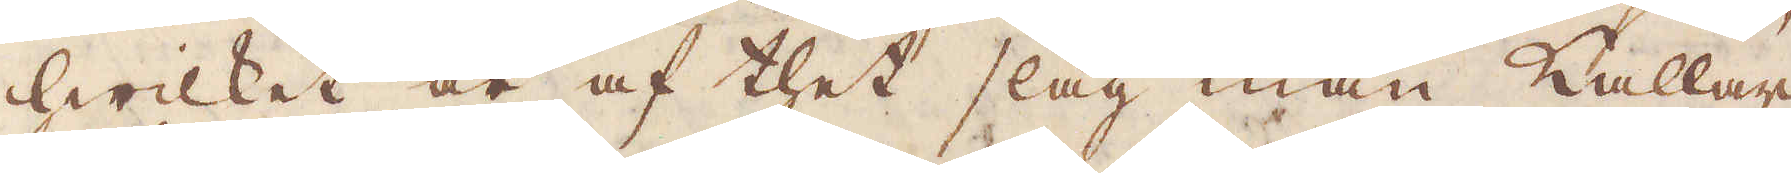hwilket är af thet slag man kallar
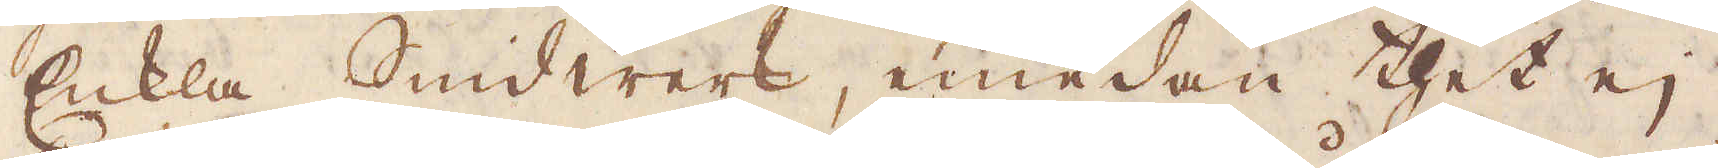Enkla Smidwerk, emedan thet ej
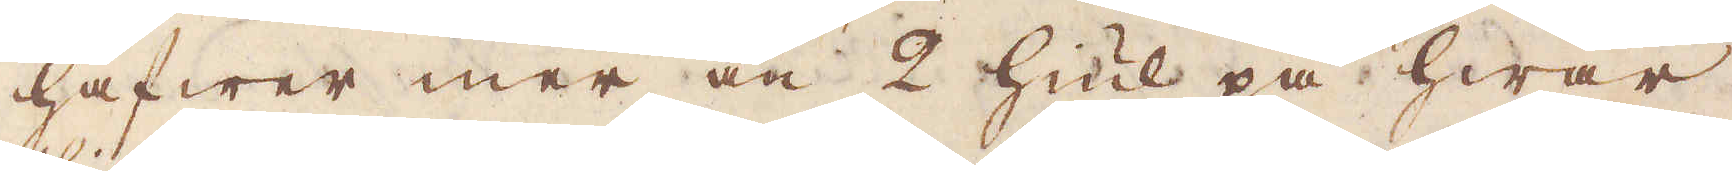hafwer mer än 2 Hiul på hwar
